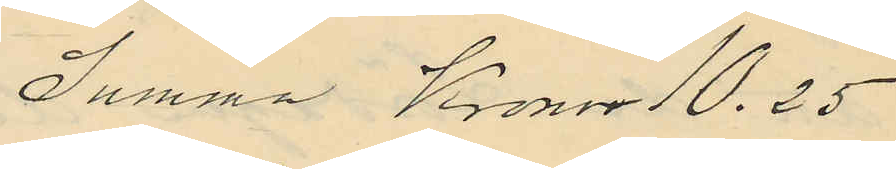Summa Kronor 10.25
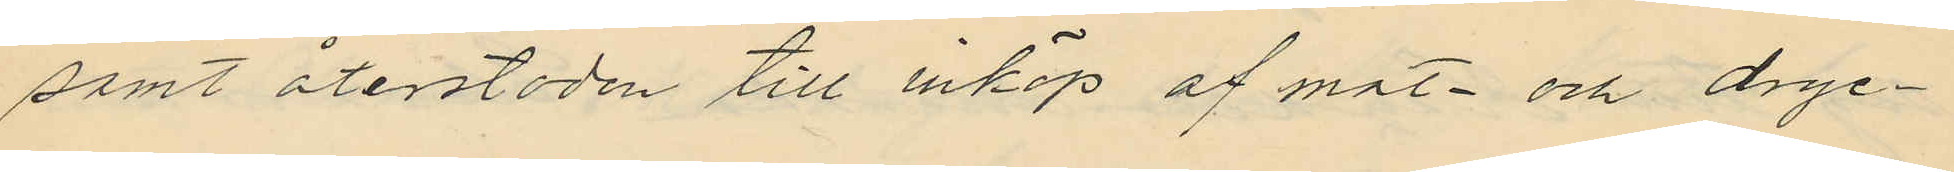samt återstoden till inköp af mat och dryc¬
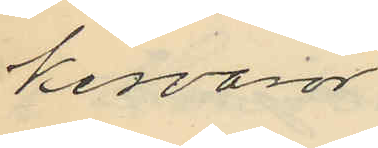kesvaror
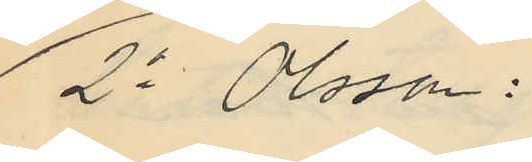2o Olsson:
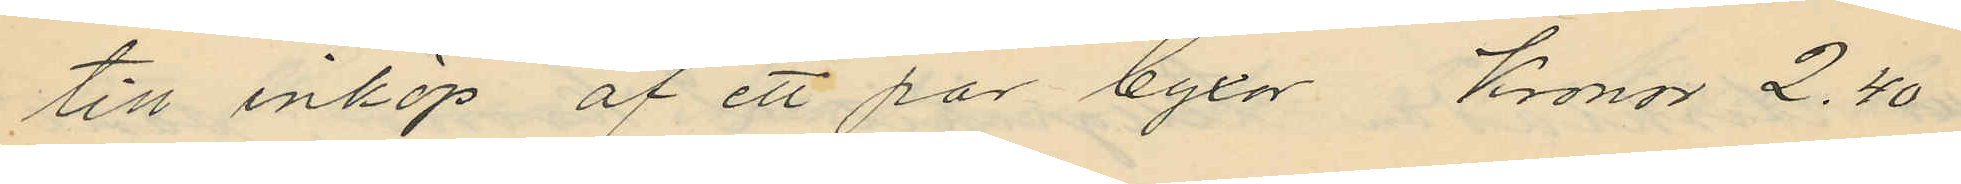till inköp af ett par byxor Kronor 2.40
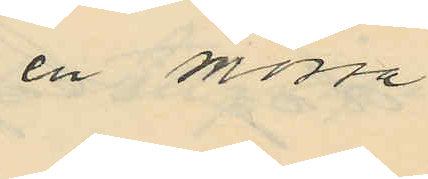en mössa
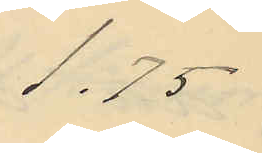1.75
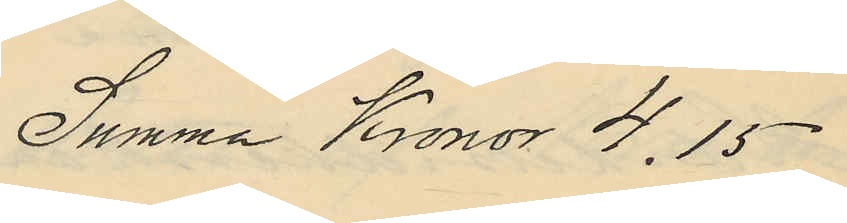Summa Kronor 4.15
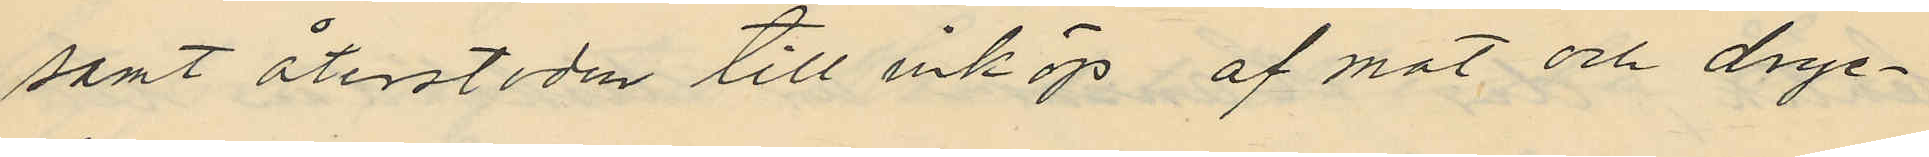samt återstoden till inköp af mat och dryc¬
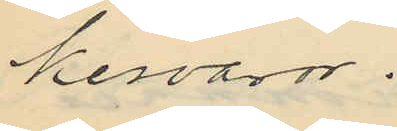kesvaror.
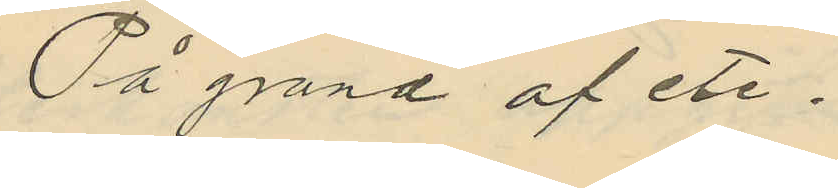På grund af etc.
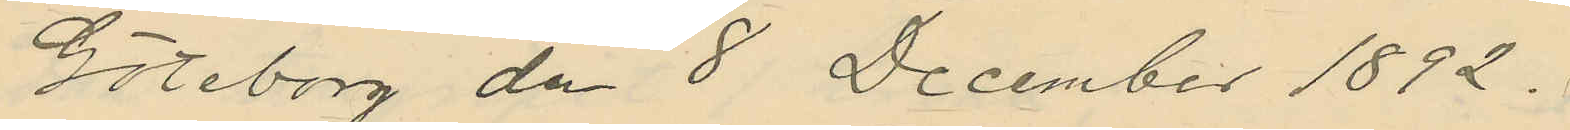Göteborg dn 8 Decmber 1892.
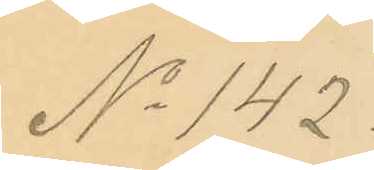No 142.
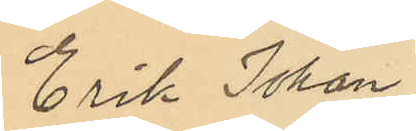Erik Johan
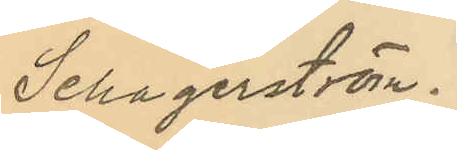Schagerström.
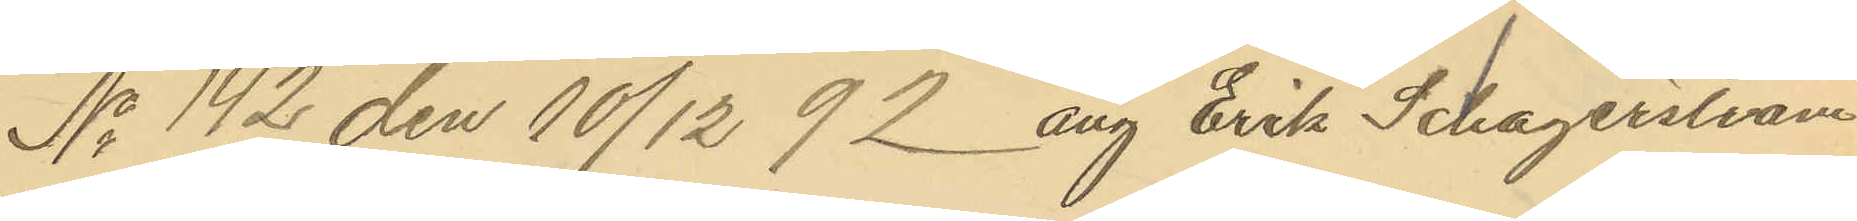No 142 den 10/12 92 ang Erik Schagerström
